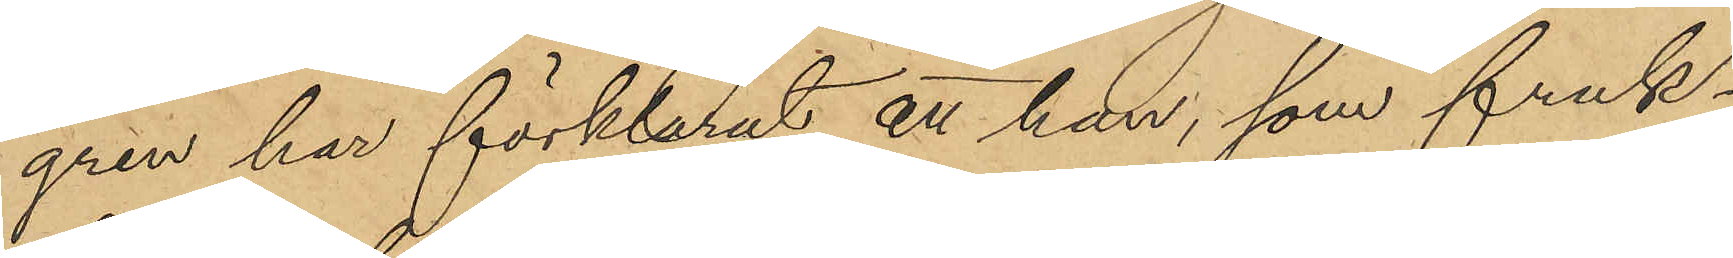gren har förklarat att han, som fruk¬
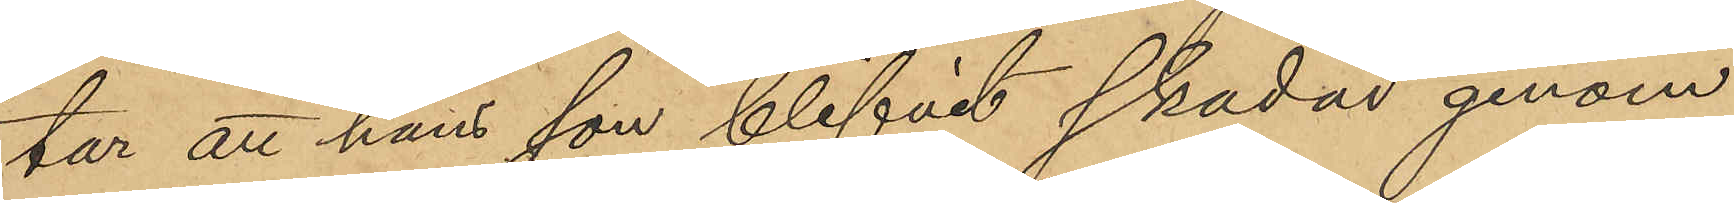tar att hans son blifvit skadad genom
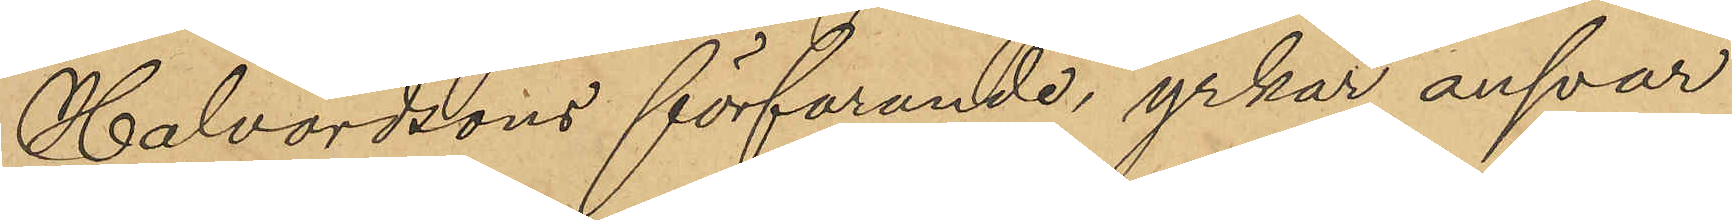Halvordsons förfarande yrkar ansvar
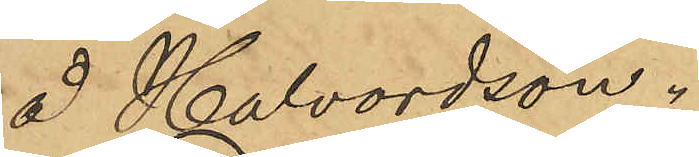å Halvardson.
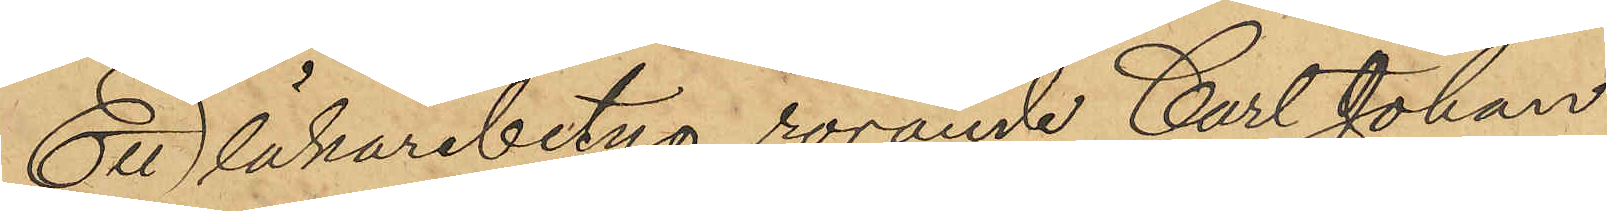Ett läkarebetyg rörande Carl Johan
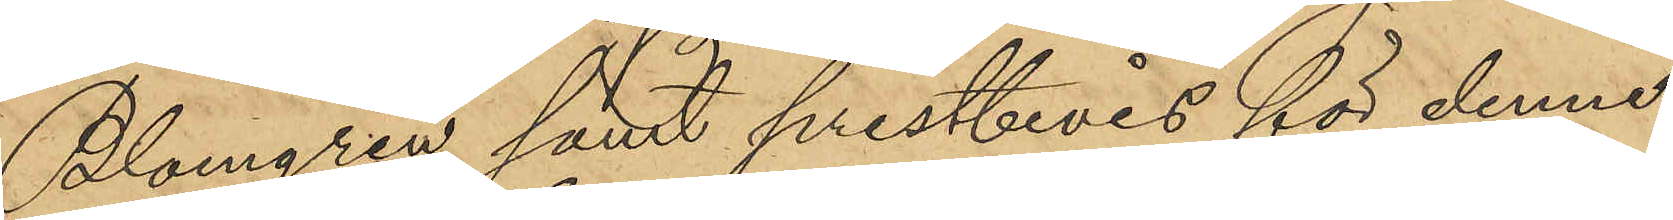Blomgren samt prestbevis för denne
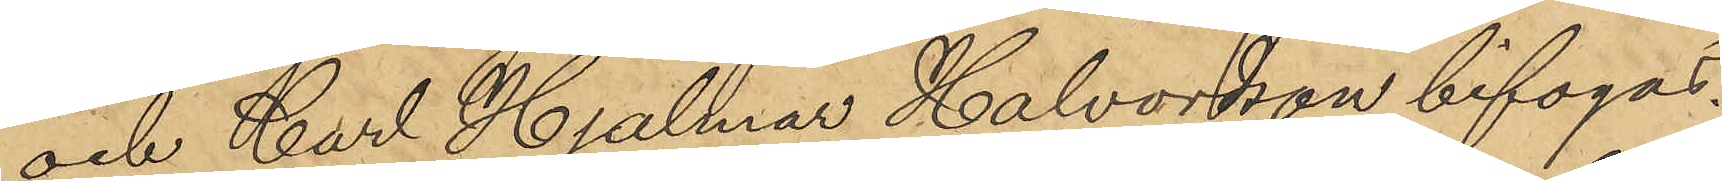och Carl Hjalmar Halvordson bifogas.
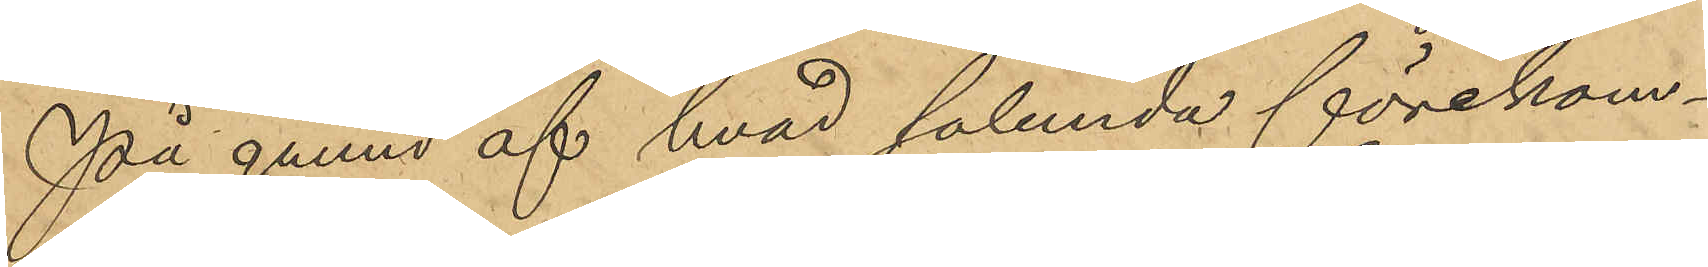På grund af hvad sålunda förekom¬
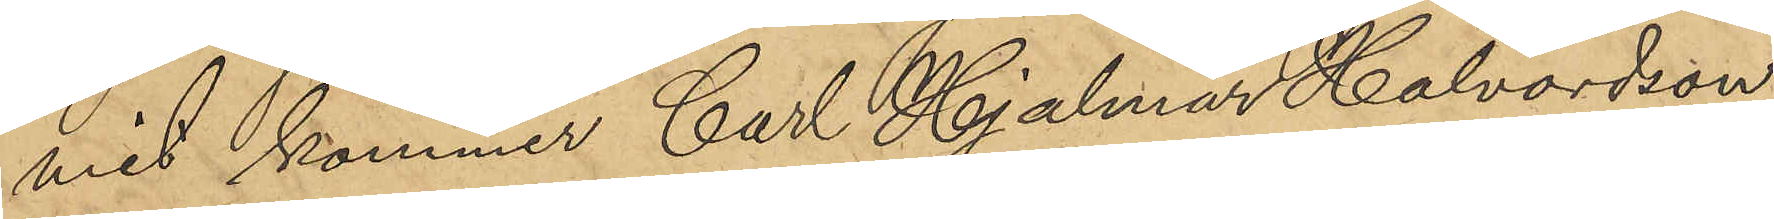mit kommer Carl Hjalmar Halvordson
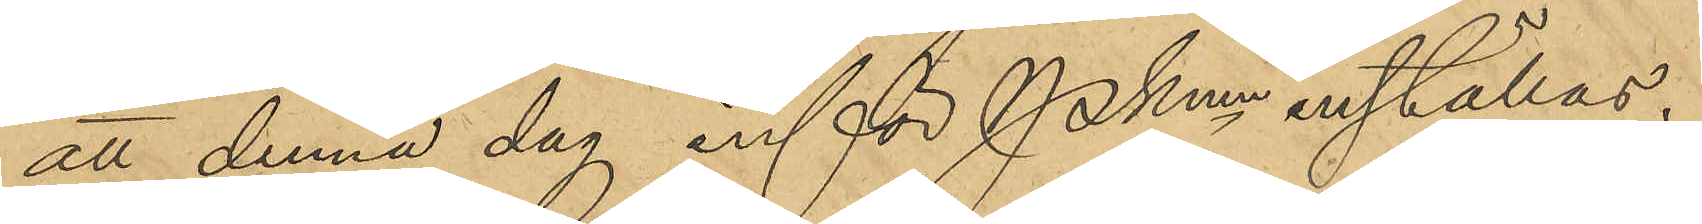att denna dag inför Pkmn inställas.
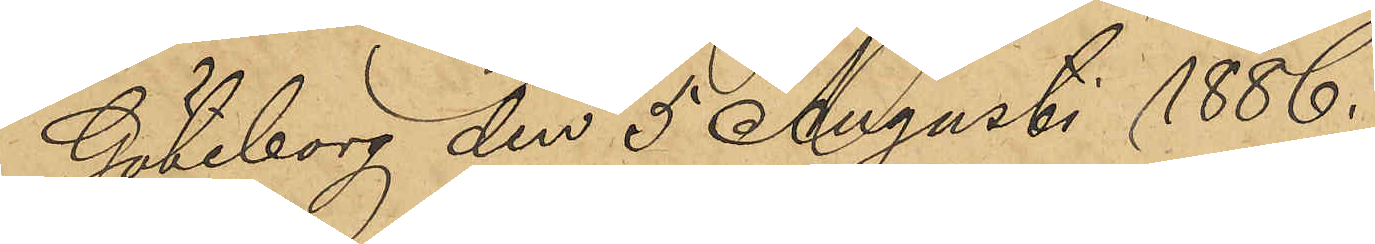Göteborg den 5 Augusti 1886.
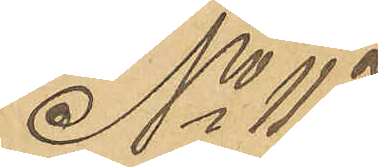No 117
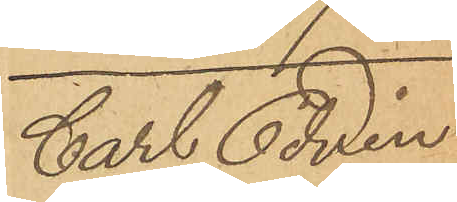Carl Edvin
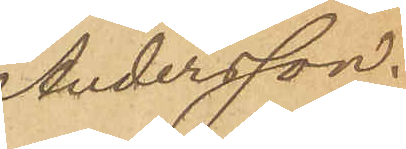Andersson.
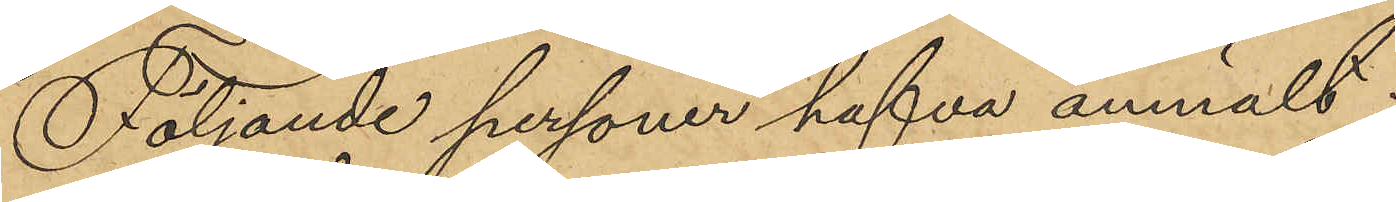Följande personer hafva anmält:
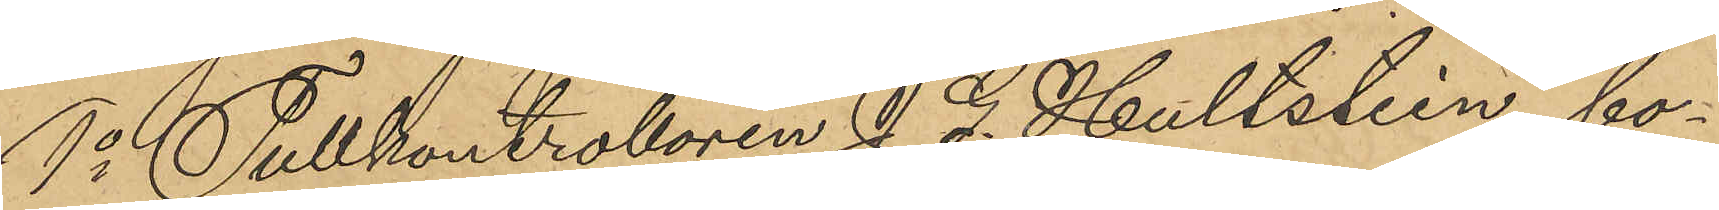1o Tullkontrollören J. G. Hultstein, bo¬
